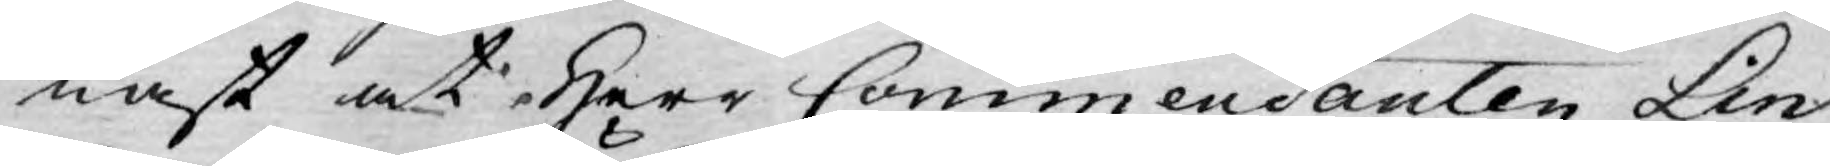nast at Herr Commendanten Lin¬
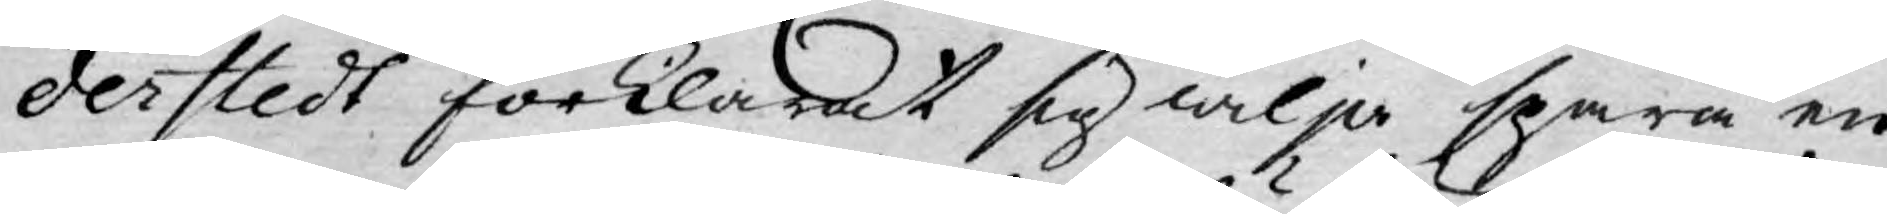derstedt förklarat sig wilja spara en
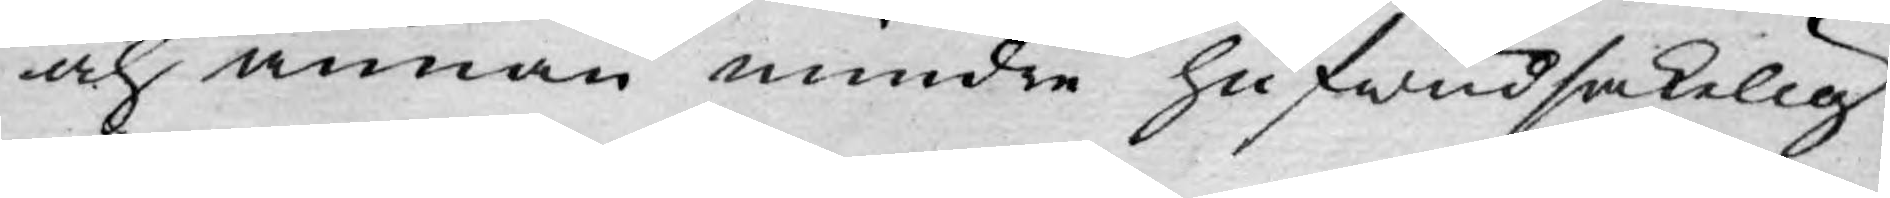och annan mindre hufwudsakelig
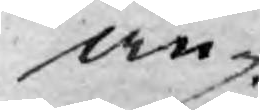an¬
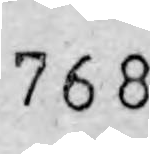768
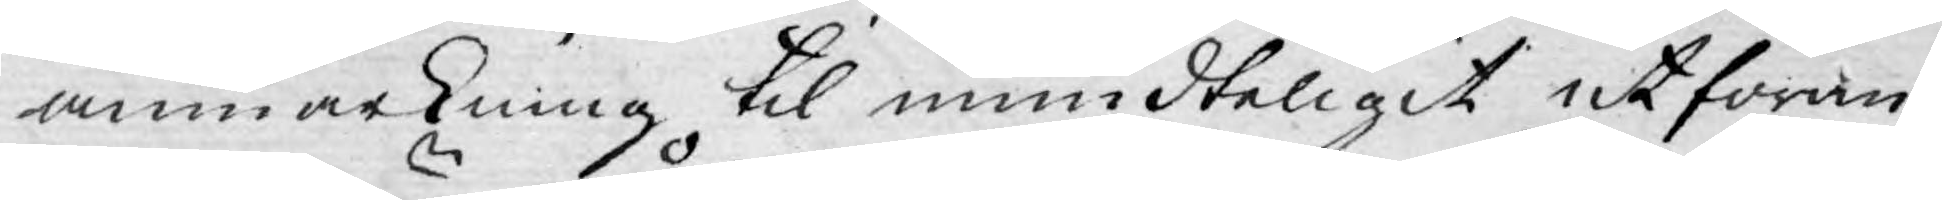anmärkning til mundteligit utföran¬
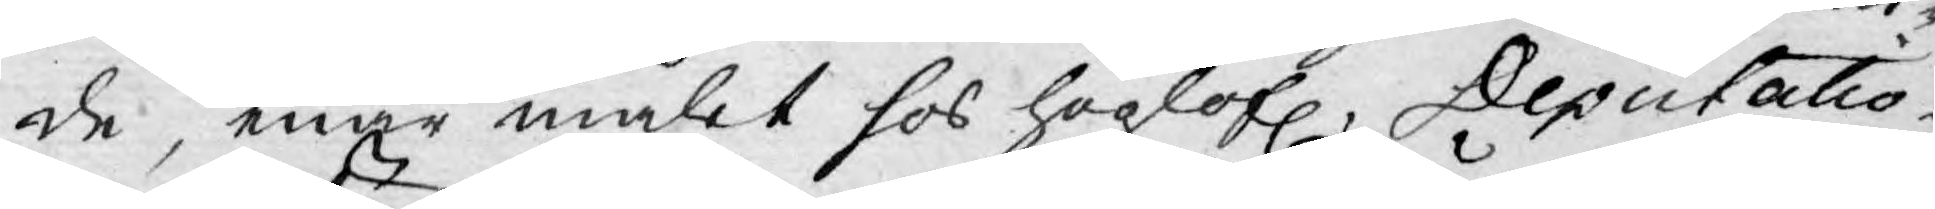de, enär målet hos höglofl. Deputatio¬
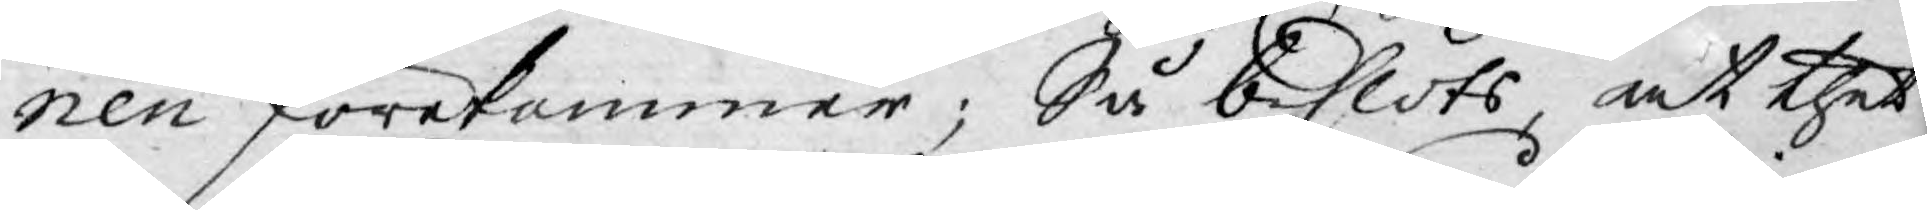nen förekommer; Så beslöts, at thet¬
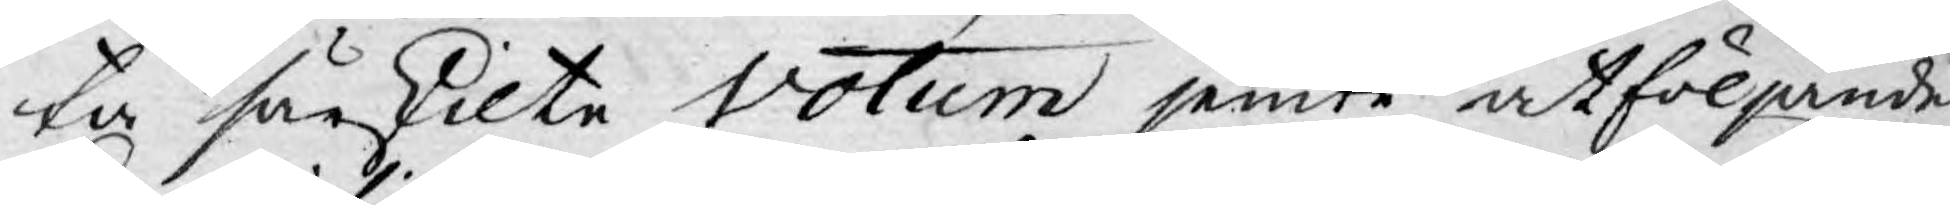ta särskilte Votum jemte åtföljande
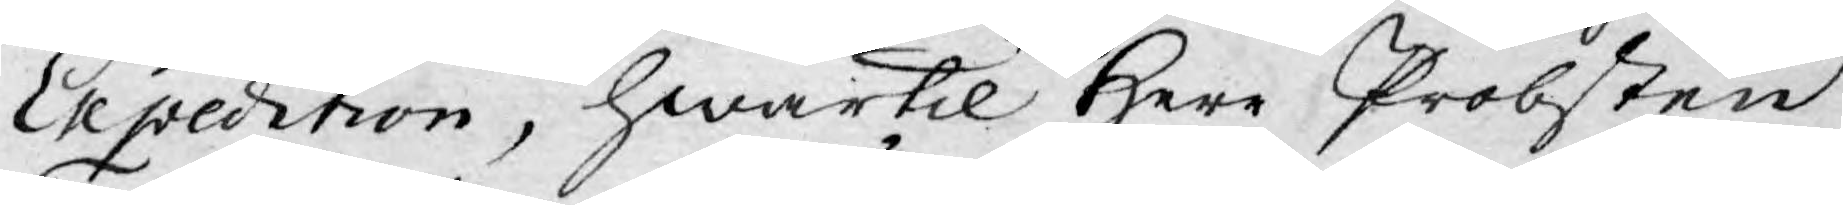Expedition, hwartil Herr Probsten
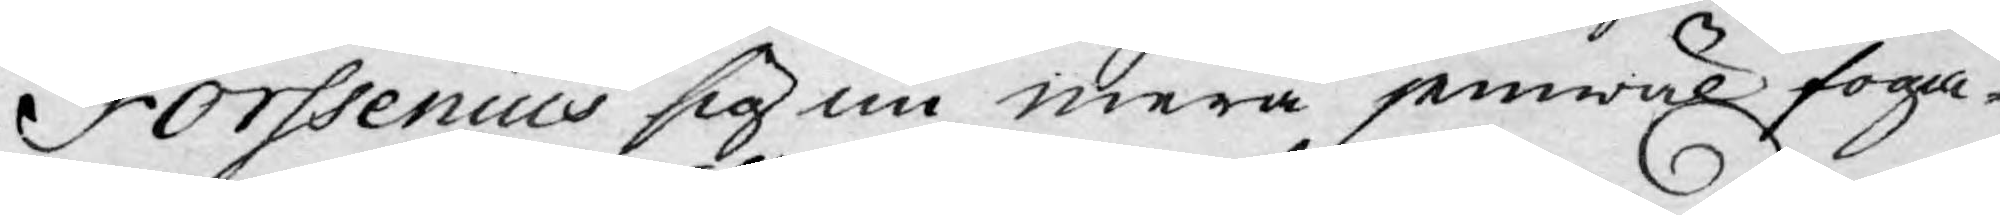Forssenius sig nu mera jemwäl foga¬
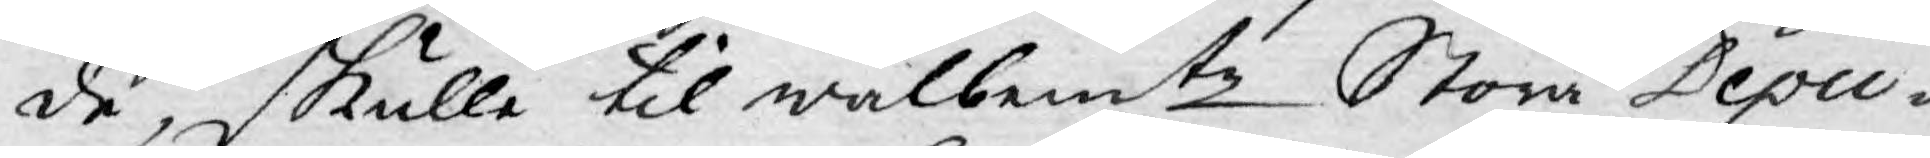de, skulle til wälbemte Stora Depu¬
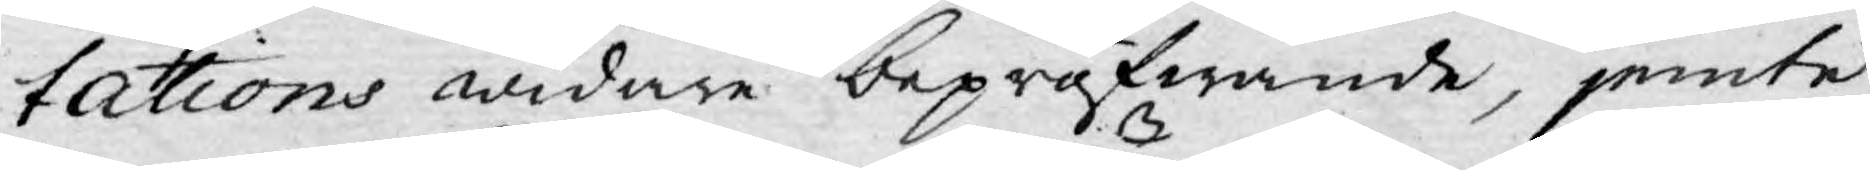tations widare bepröfwande, jemte
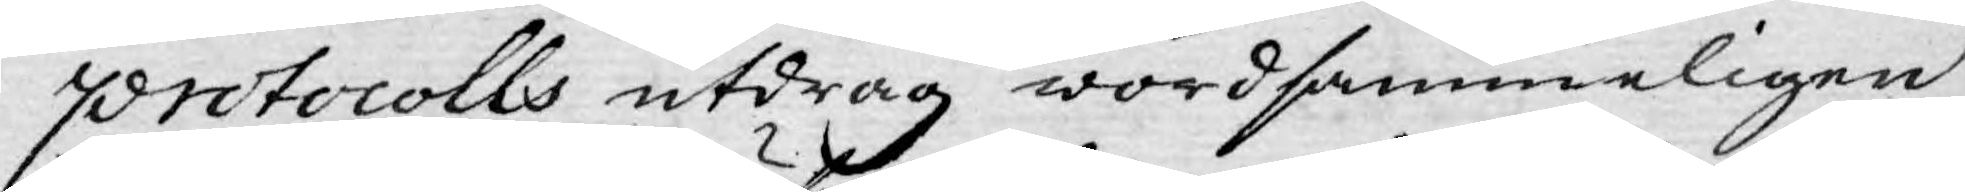protocolls utdrag wördsammeligen
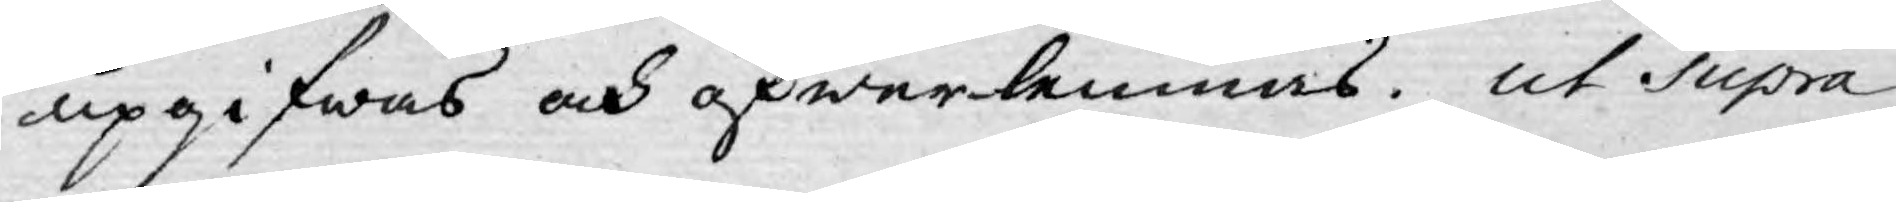upgifwas och öfwerlemnas. ut Supra.
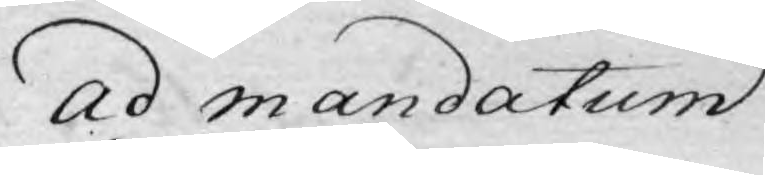ad mandatum
